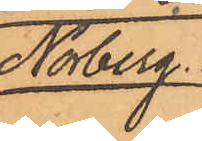Norberg.
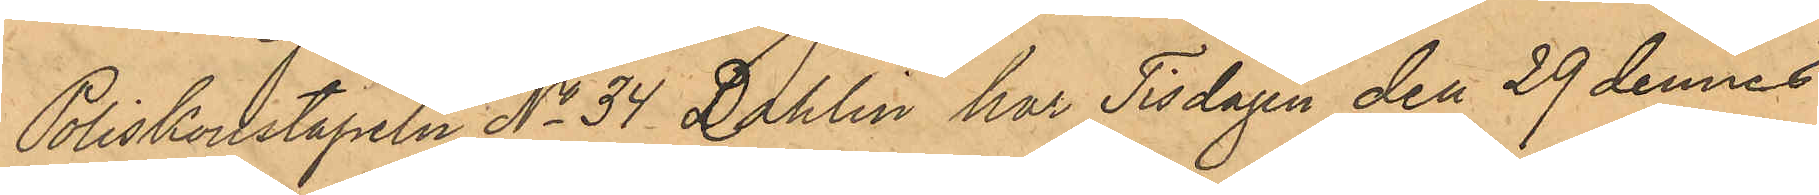Poliskonstapeln No 34 Dahlin har Tisdagen den 29 dennes
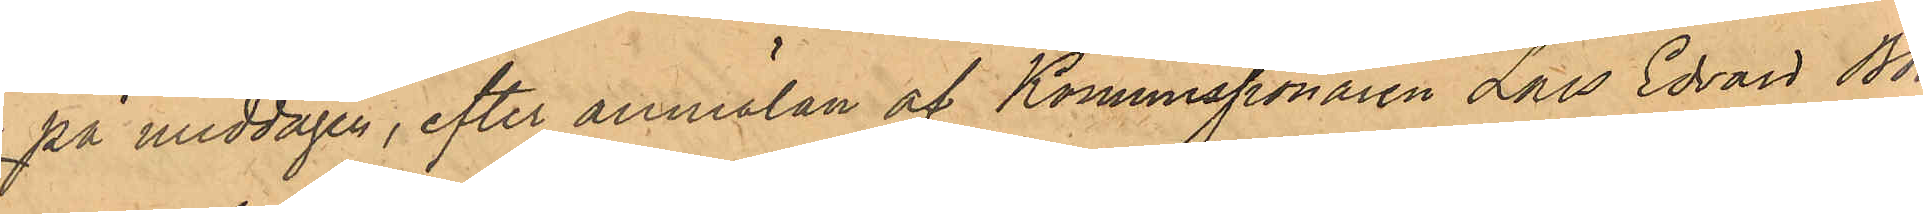på middagen, efter anmälan af Kommissionären Lars Edvard Bör¬
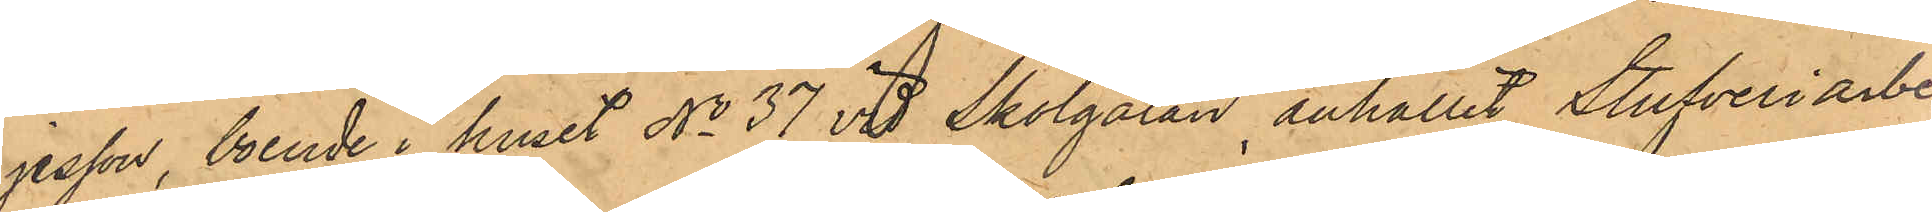jesson, boende i huset No 37 vid Skolgatan anhållit Stufveriarbe¬
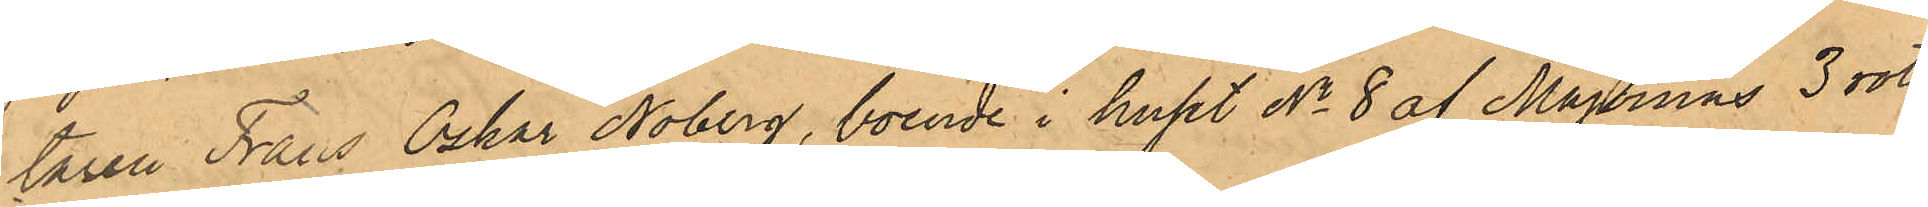taren Frans Oskar Noberg, boende i huset No 8 af Majornas 3 rote,
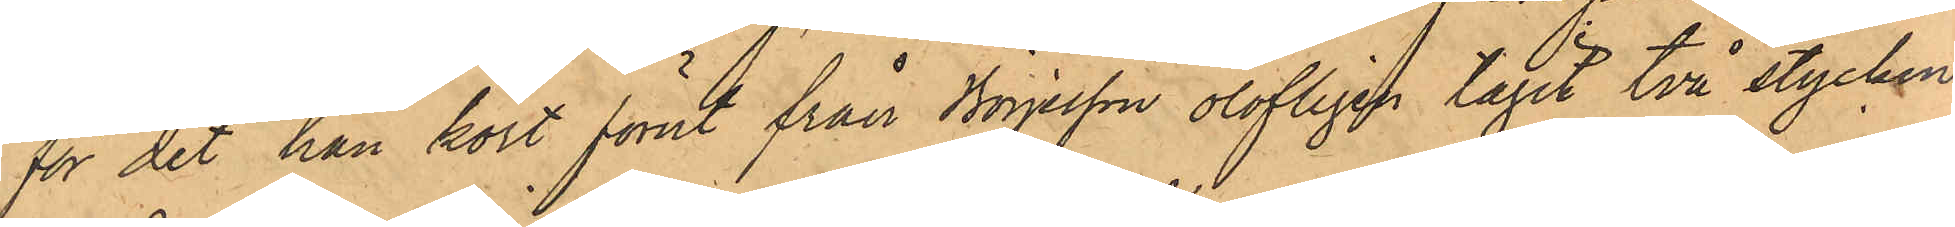för det han kort förut från Börjesson olofligen tagit två stycken
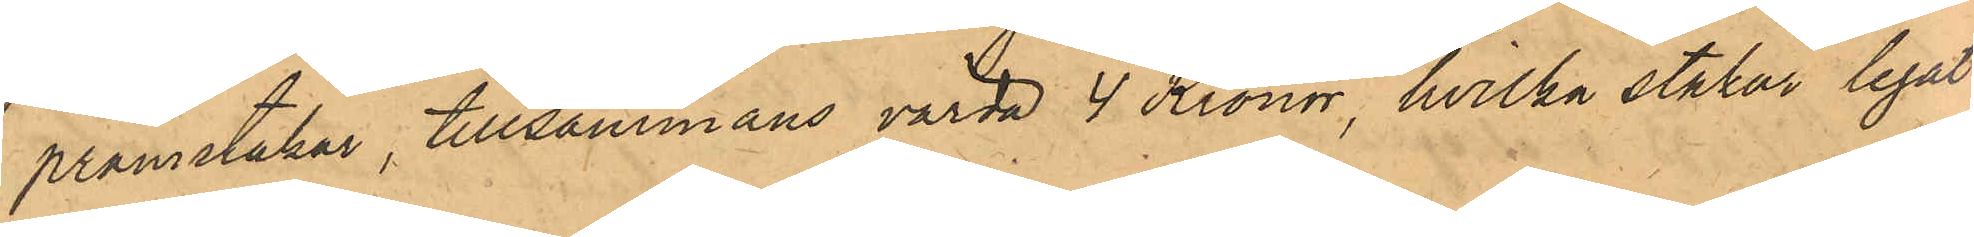pråmstakar, tillsammans värda 4 Kronor, hvilka stakar legat
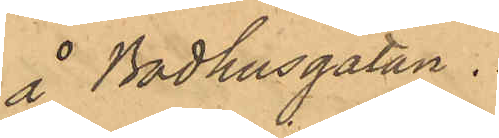å Badhusgatan.
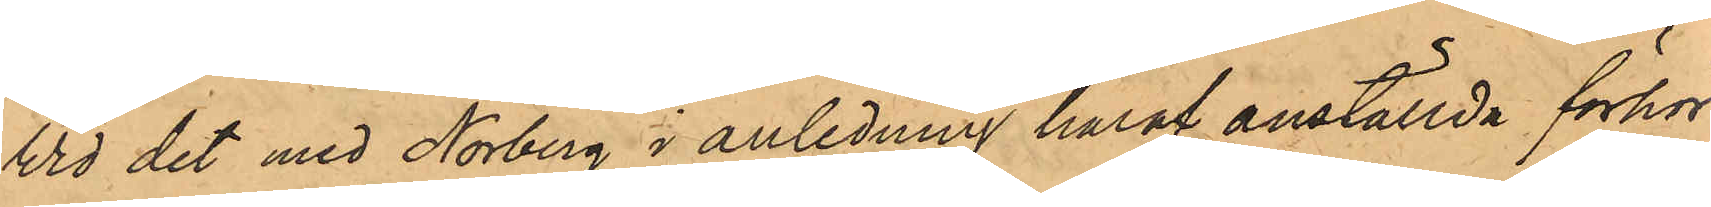Vid det med Norberg i anledning häraf anställda förhör
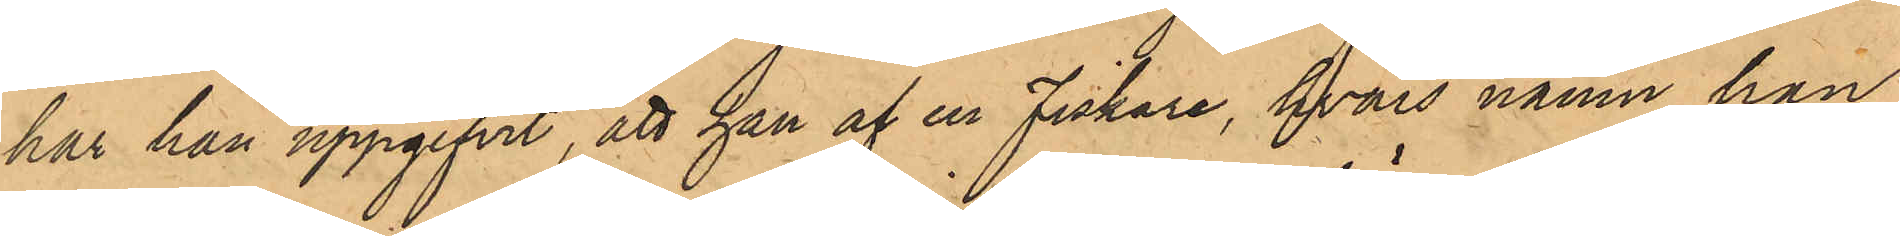har han uppgifvit, att han af en fiskare, hvars namn han
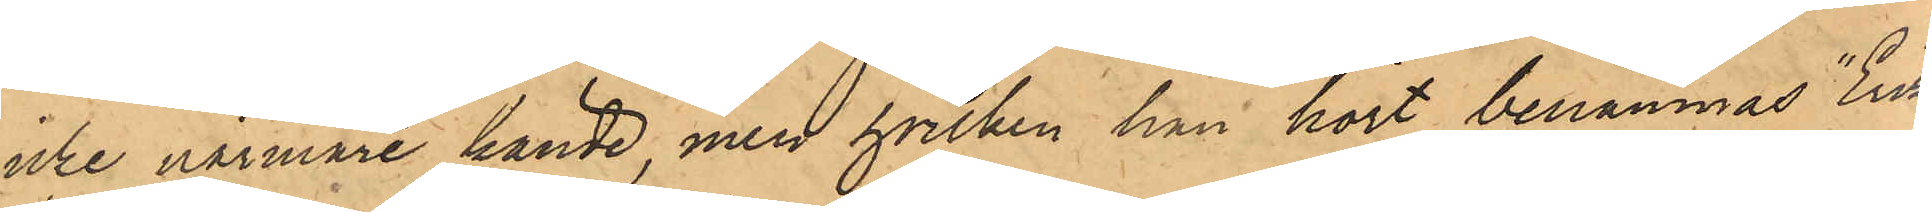icke närmare kände, men hvilken han hört benämnas "Erik
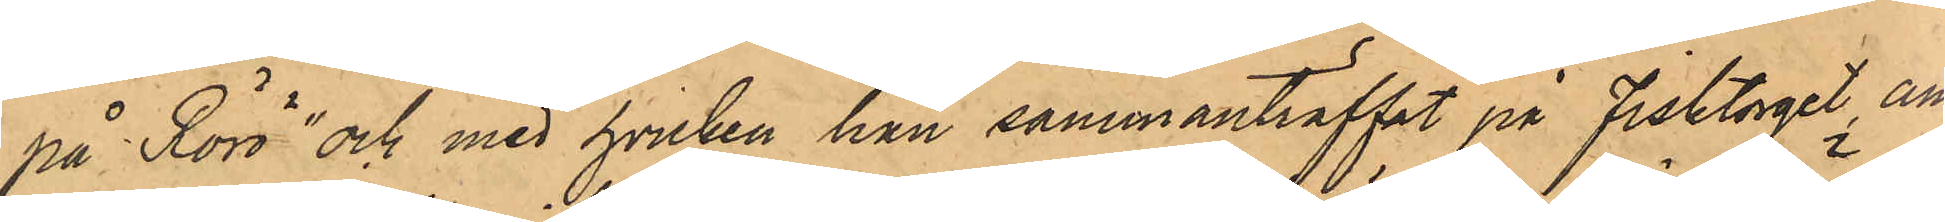på Rörö" och med hvilken han sammanträffat på Fisktorget an¬
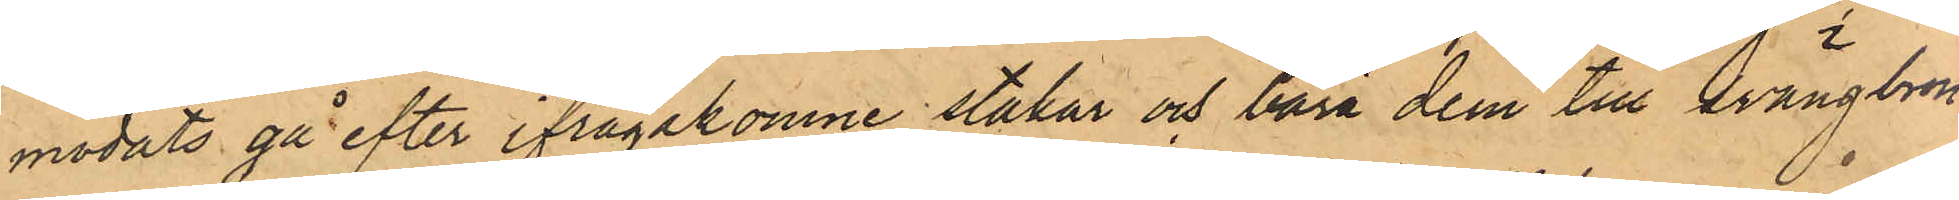modats gå efter ifrågakomne stakar och bära dem till Svängbron
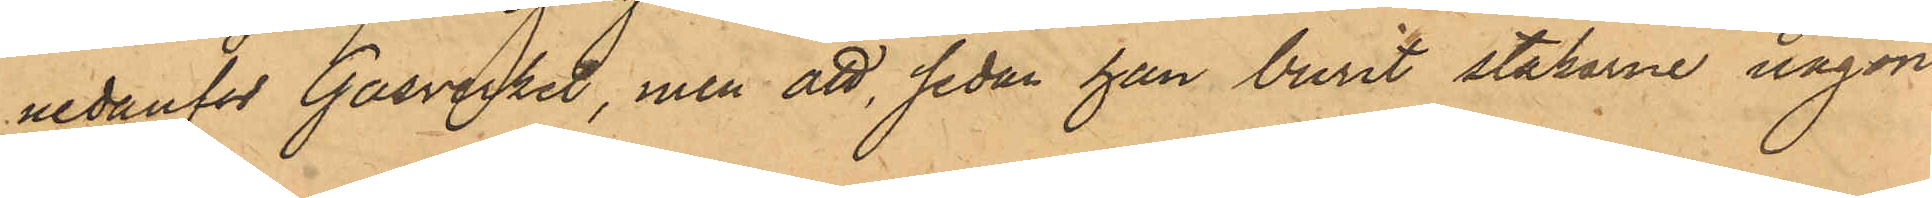nedanför Gasverket, men att, sedan han burit stakarne någon
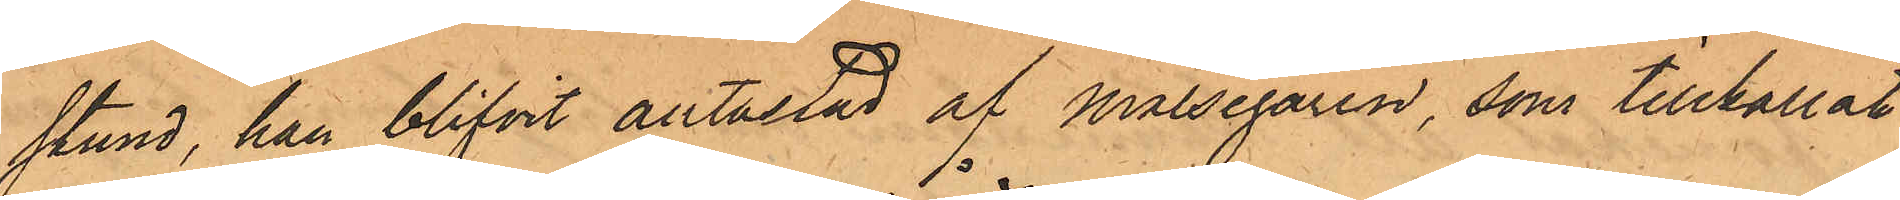stund, han blifvit antastad af Målsegaren, som tillkallat
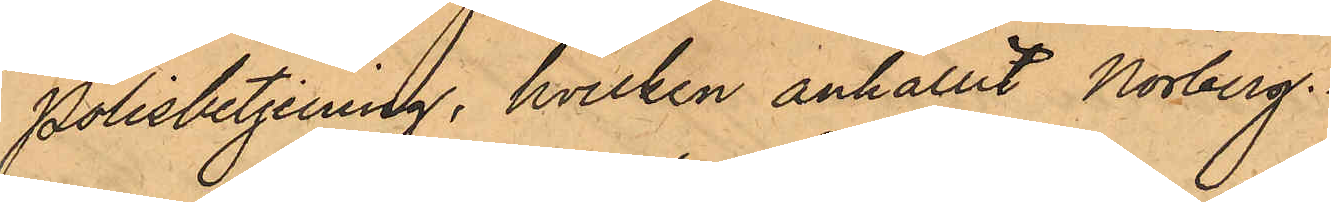Polisbetjening, hvilken anhållit Norberg.
